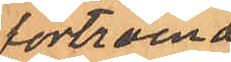förtroende
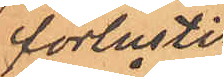förlustig i
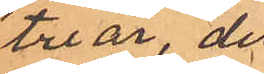tre år, dels
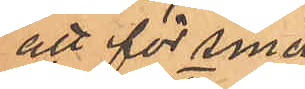att för smäd-
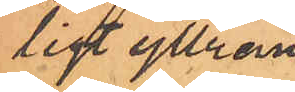ligt yttran¬
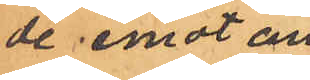de emot an¬
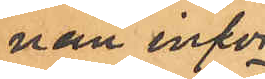nan inför
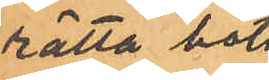rätta böta
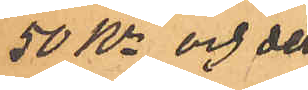50 Kr och dels
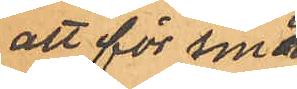att för smäd¬
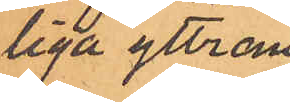liga yttran¬
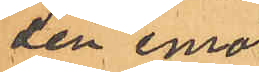den emot
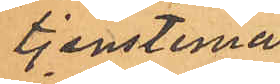tjensteman
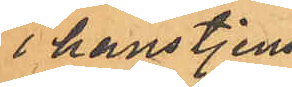i hans tjenst
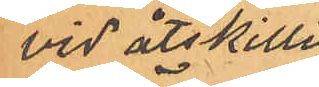vid åtskilliga
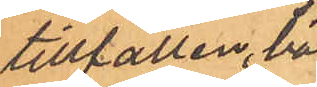tillfällen, böta
